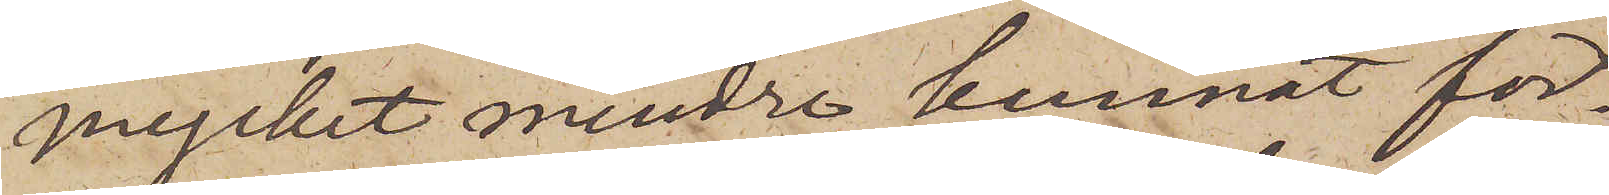mycket mindre kunnat för¬
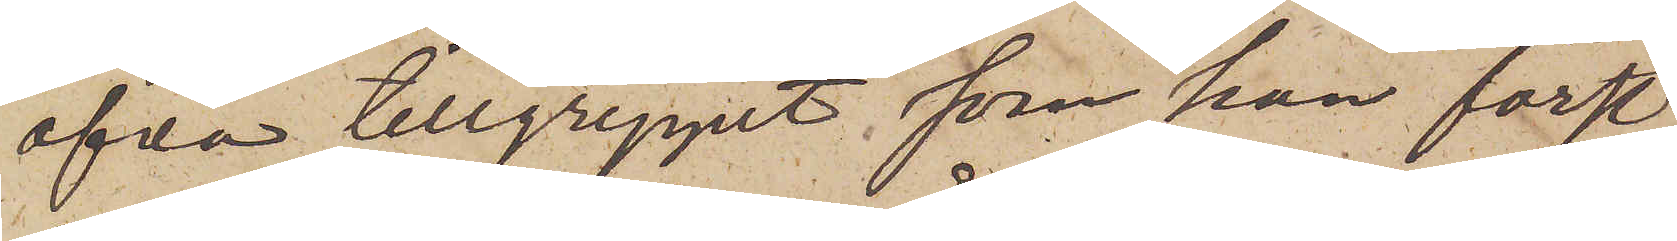öfva tillgreppet, som han först,
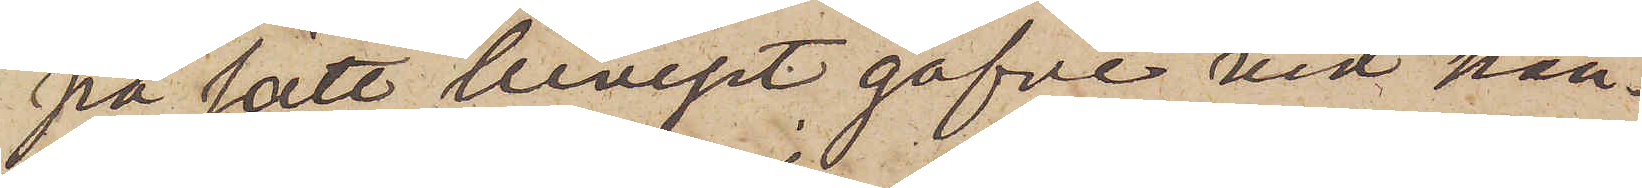på sätt beviset gifve vid han¬
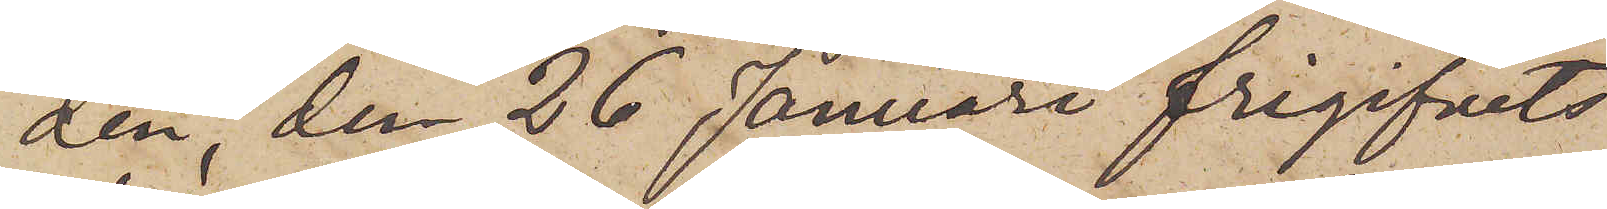den, den 26 Januari frigifvits
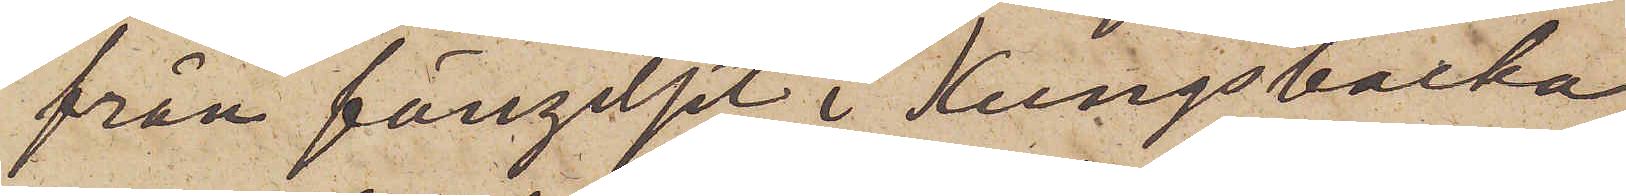från fängelset i Kungsbacka;
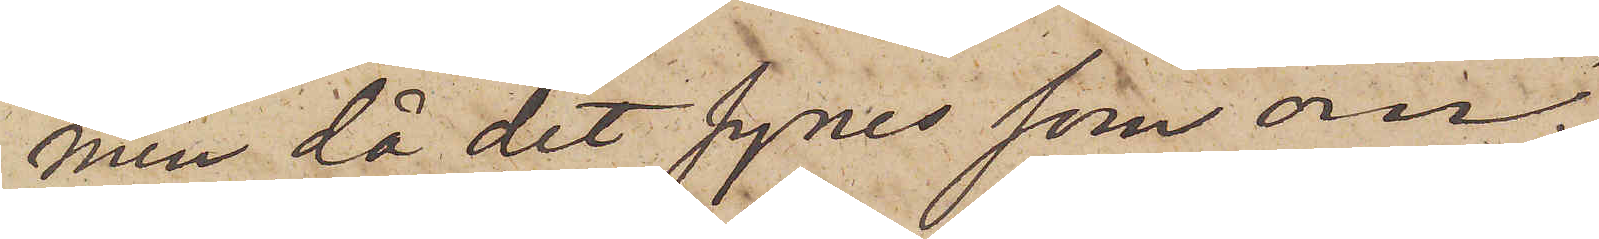men då det synes som om
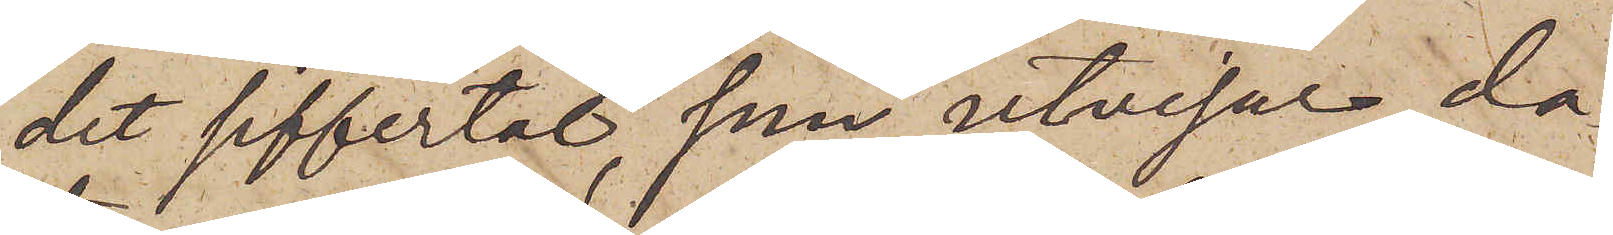det siffertal, som utvisar da¬
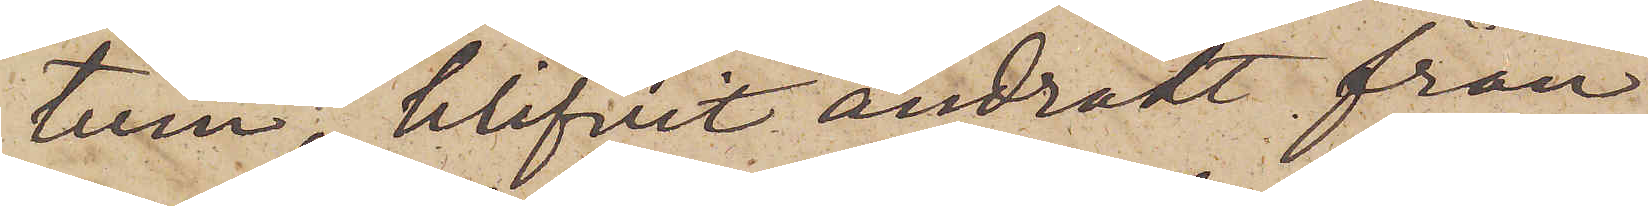tum blifvit ändradt från
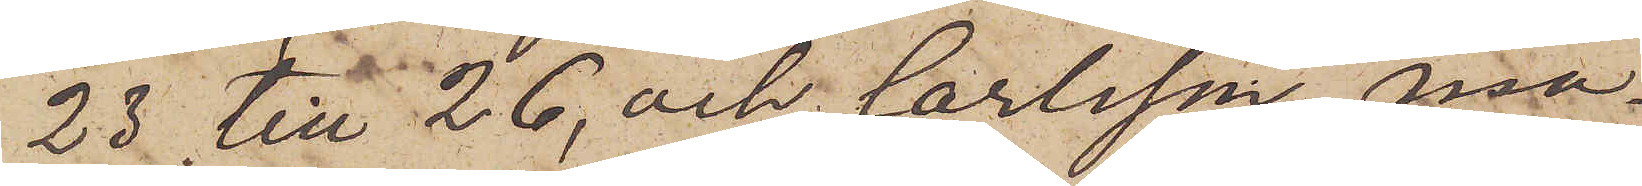23 till 26, och Carlsson må¬
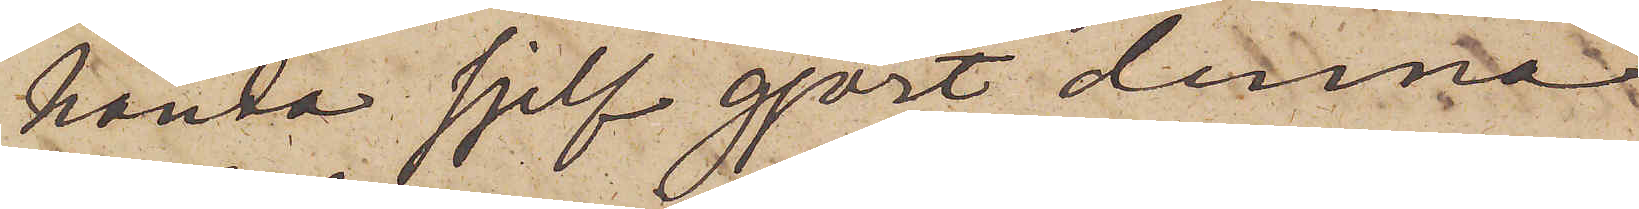hända sjelf gjort denna
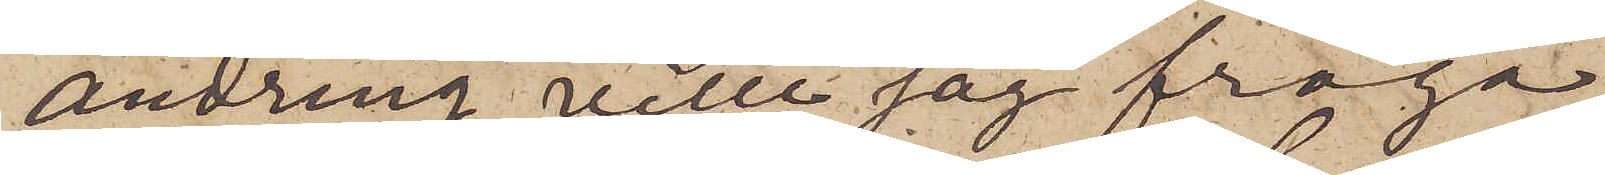ändring, ville jag fråga
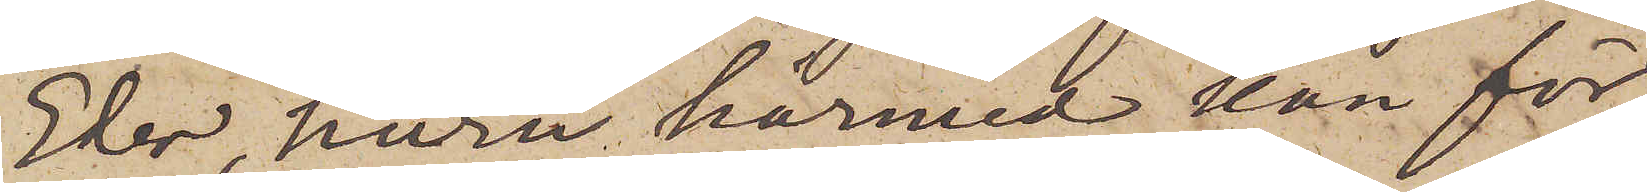Eder huru härmed kan för¬
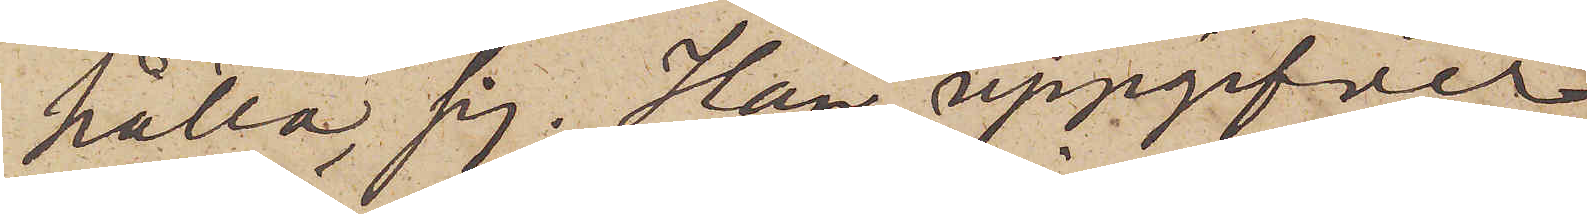hålla sig. Han uppgifver
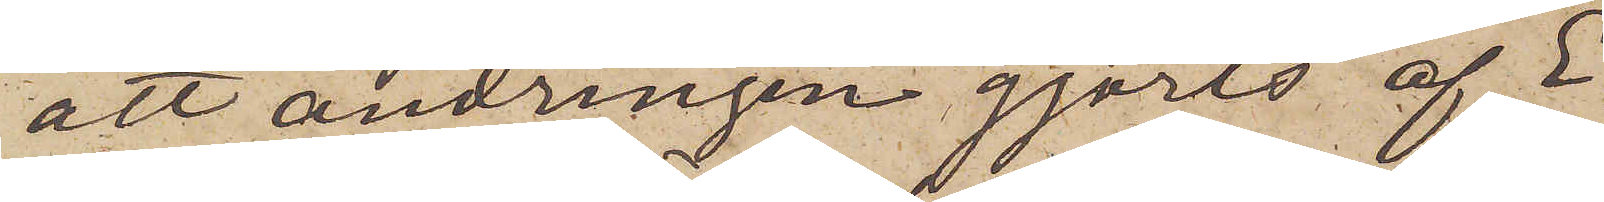att ändringen gjorts af E¬
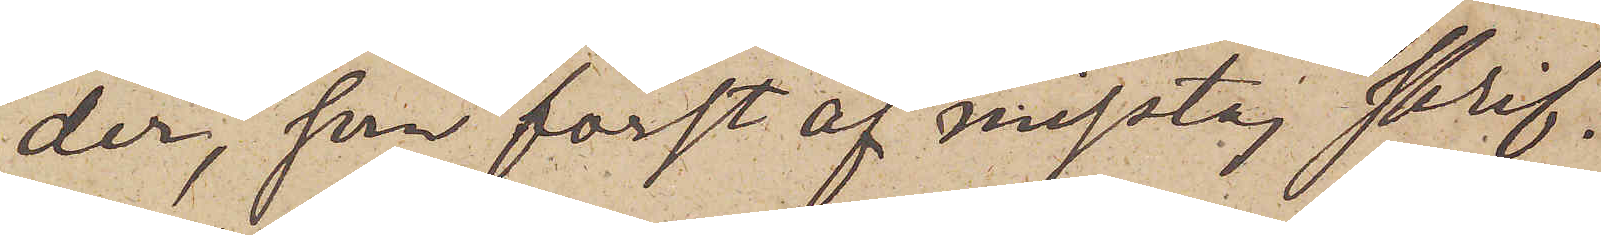der, som först af misstag skrif¬
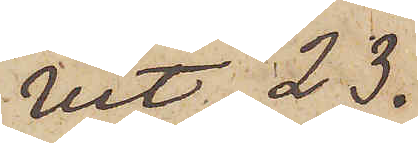vit 23.
